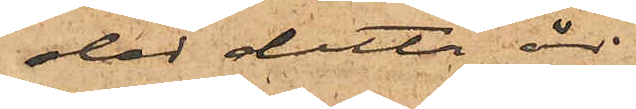der detta år
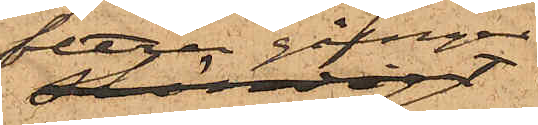flera gånger
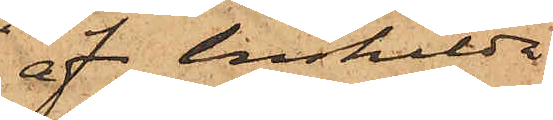af enskilda
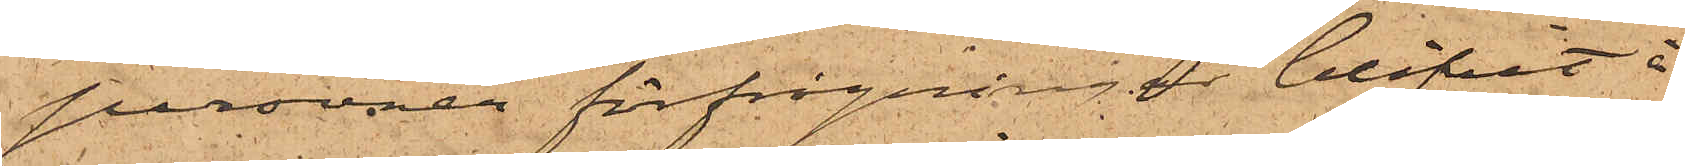personer förfrågningar blifvit i
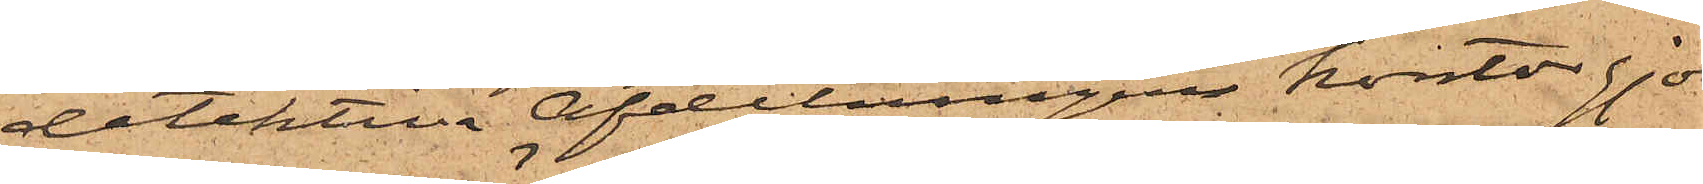detektiva Afdelningens kontor gjo¬
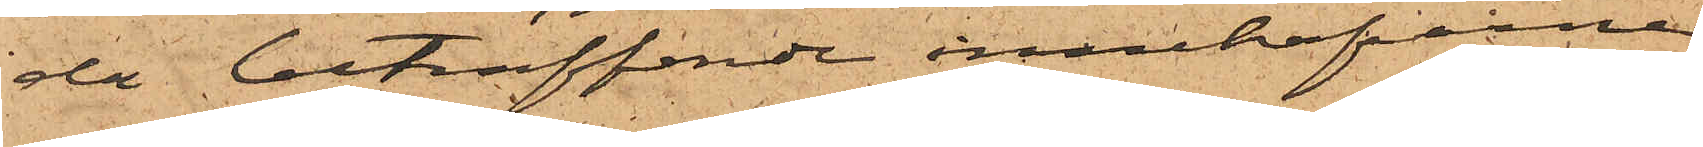da beträffande innehafvarne
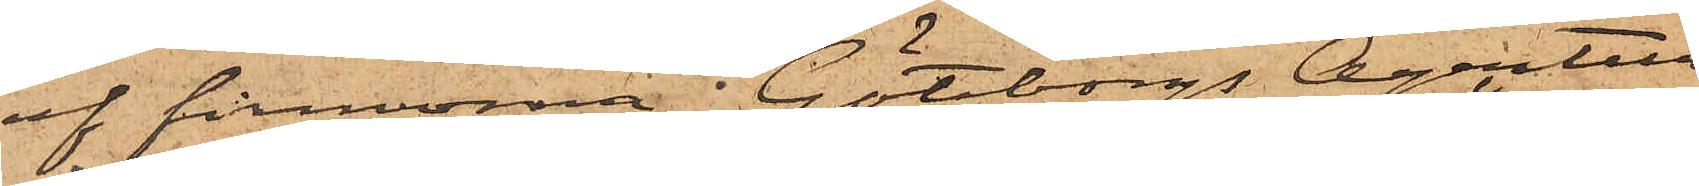af firmorna "Göteborgs Agentur
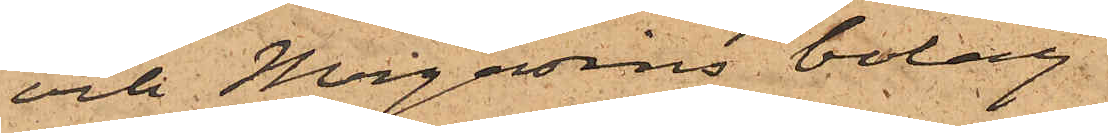och Magasins bolag"
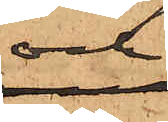och
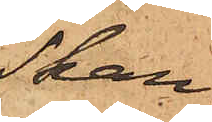"Skan¬
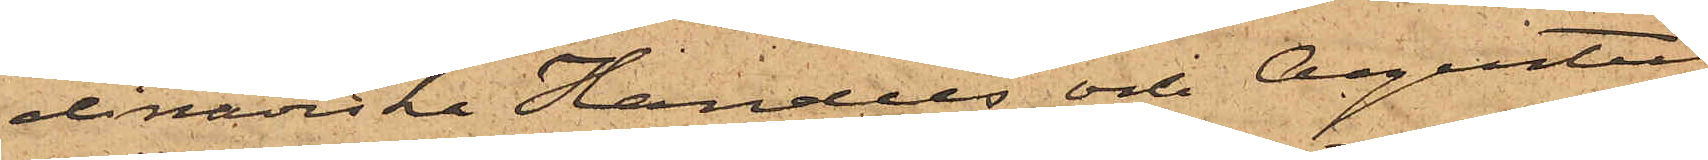dinaviska Handels och Agentur
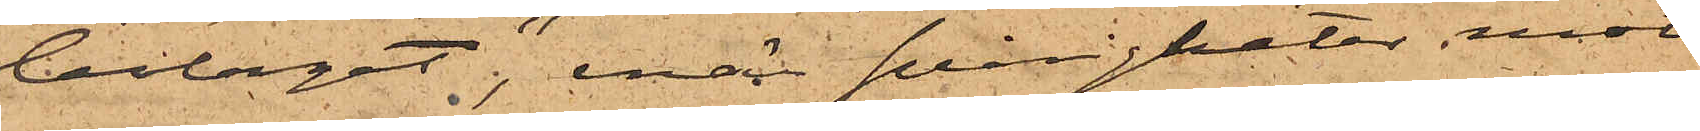bolaget", enär svårigheter mött
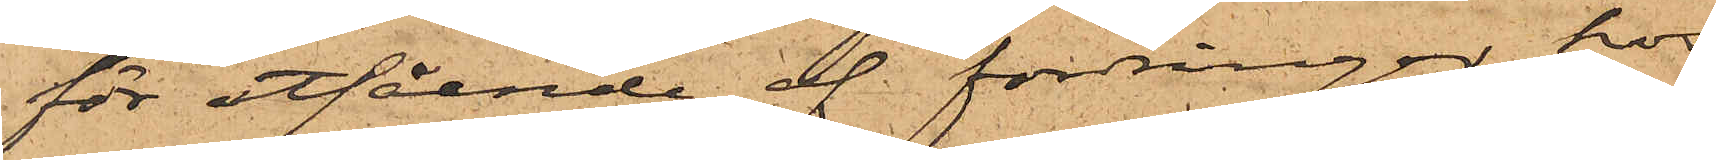för utfående af fordringar hos
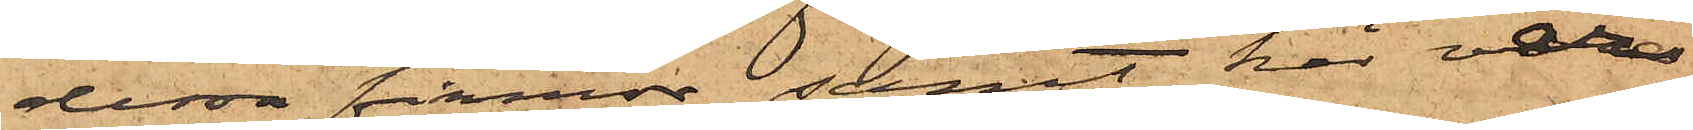dessa firmor, samt här var
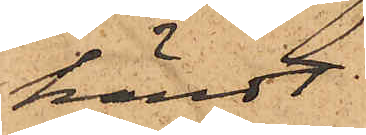kändt
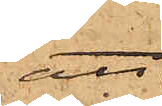att
